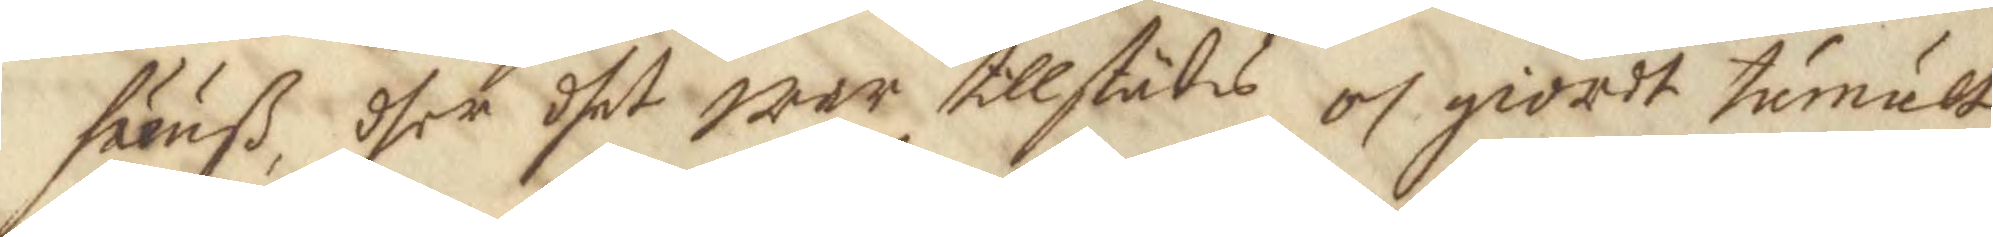huuß, dher dhet war tillstädes och giordt tumult,
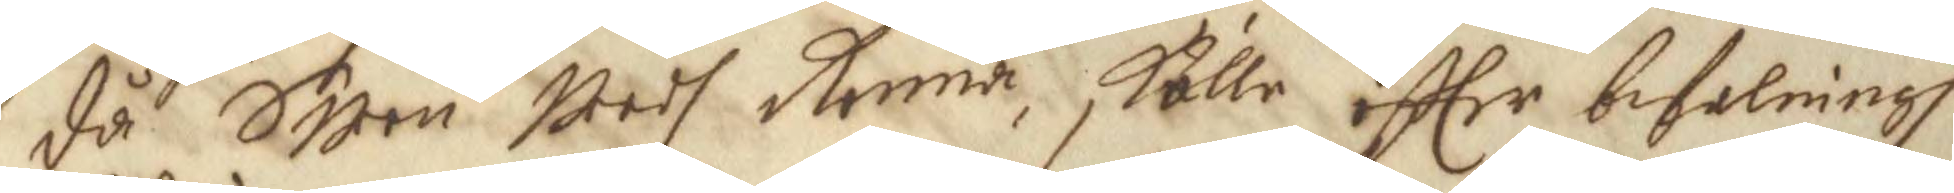då Swen weedh Ronna skulle effter befalningh
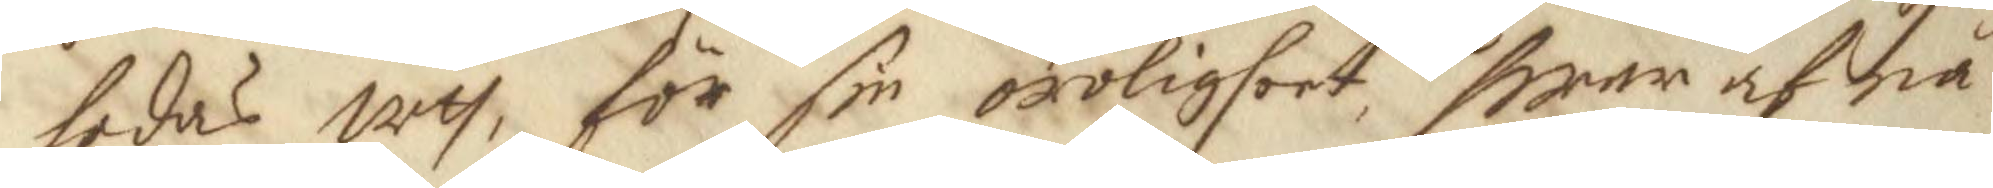ledas uth, för sin oroligheet, hwar af nå¬
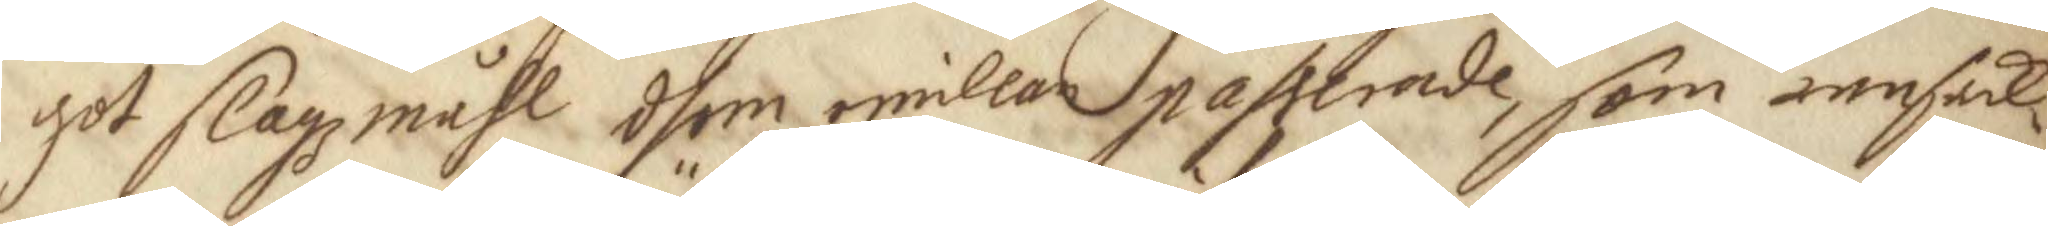got slagzmåhl dhem emillan passerade, som ransak¬
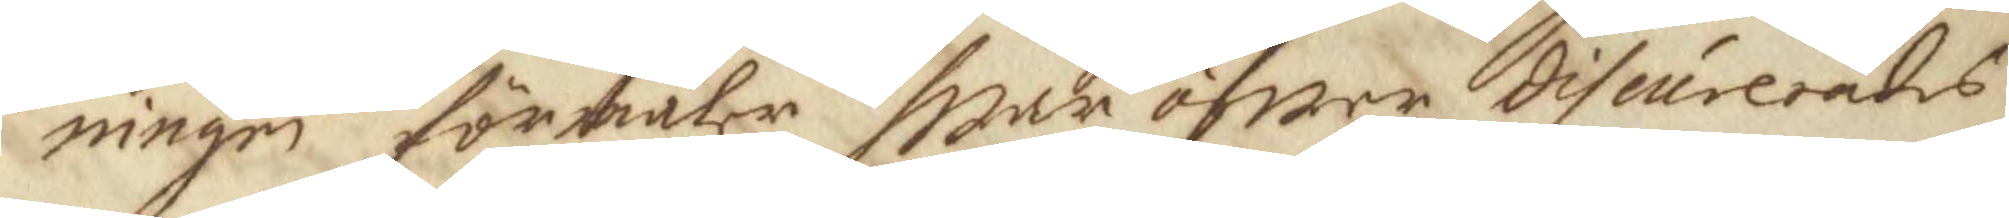ningen förmäler hwar öfwer discurerades
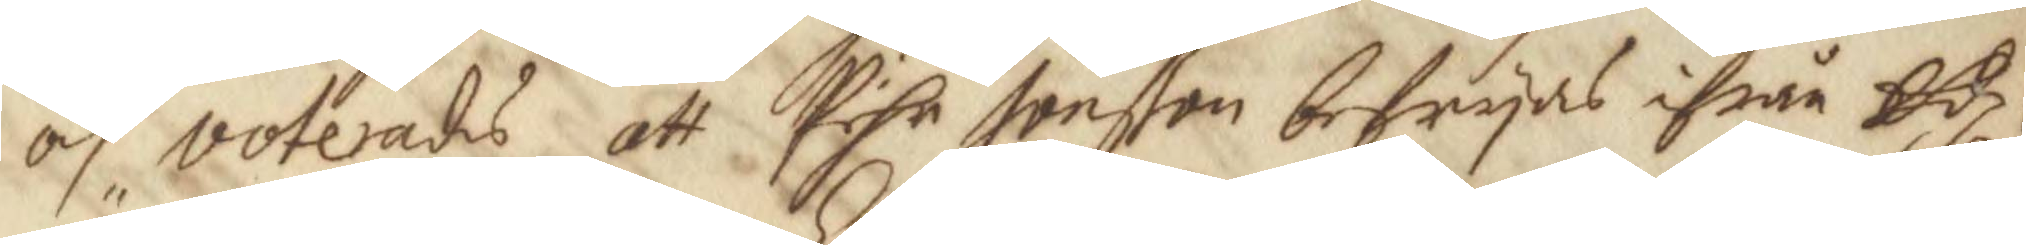och voterades att Pehr Jonßon befryas ifrån Edz¬
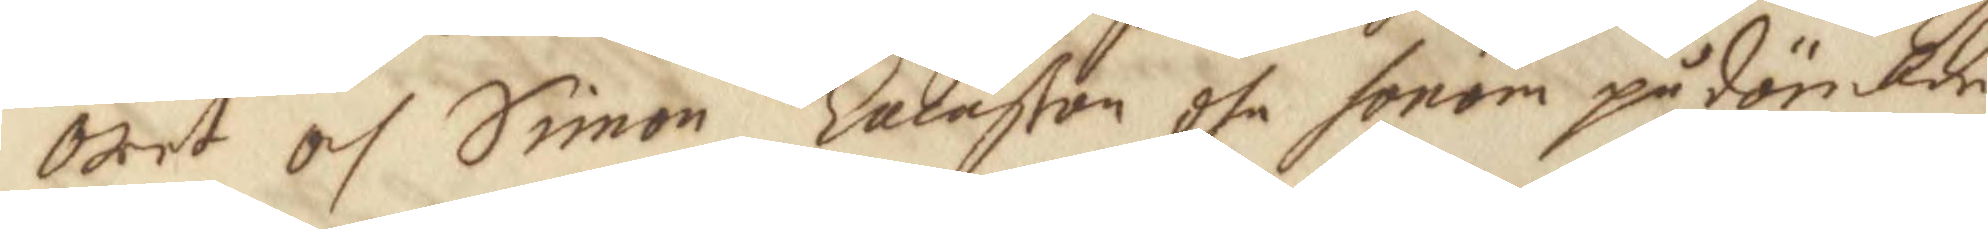öret och Simon Lalnßon dhe honom pådömbde
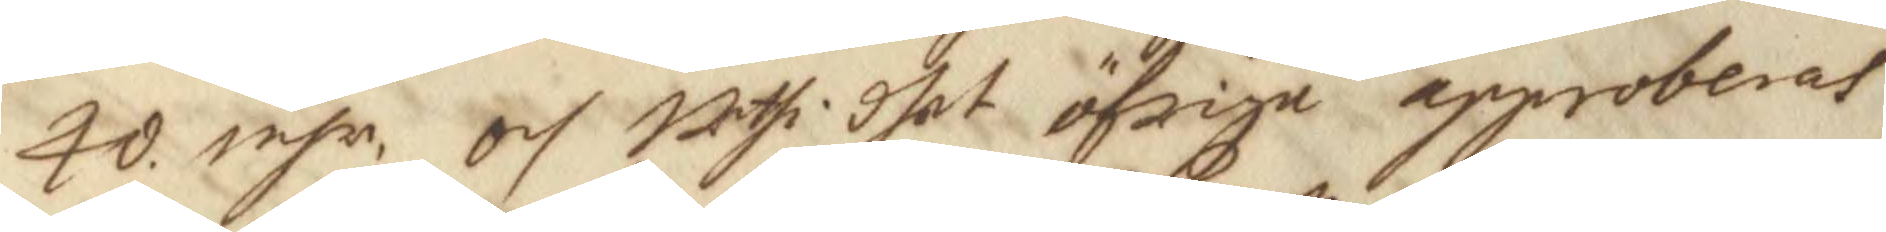40. inhr: och uthi dhet öfriga approberas 
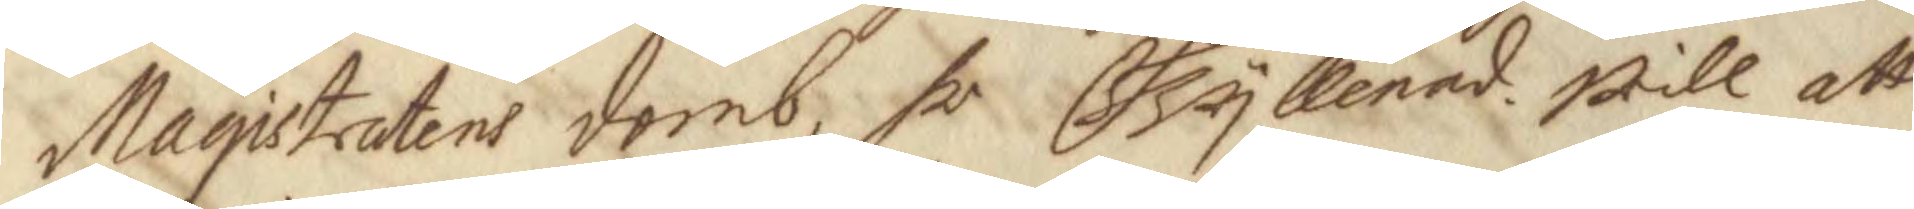Magistratens domb, hr Gyllenad will att 
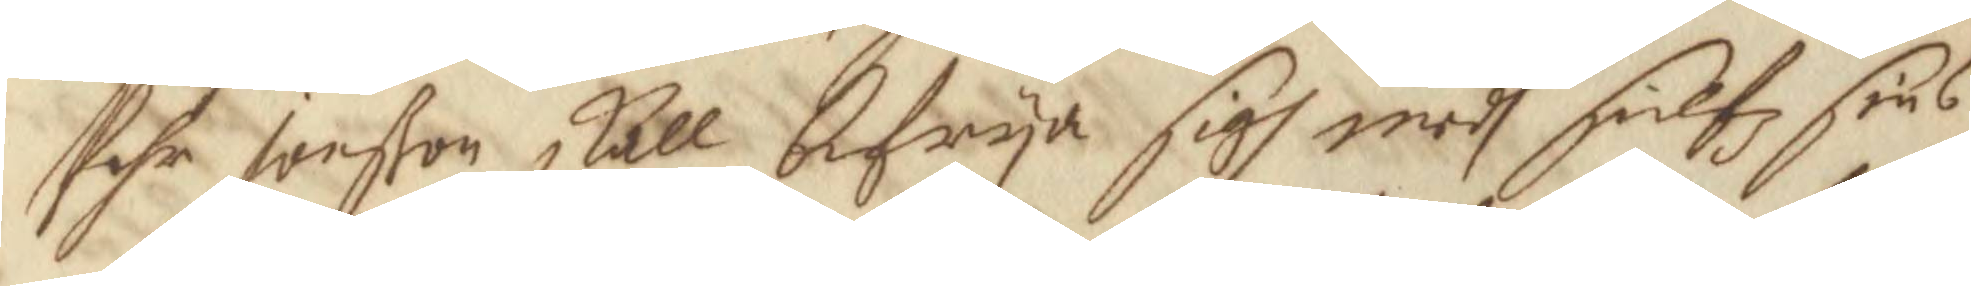Pehr Jonßon skall befrya sigh medh sielfz sins
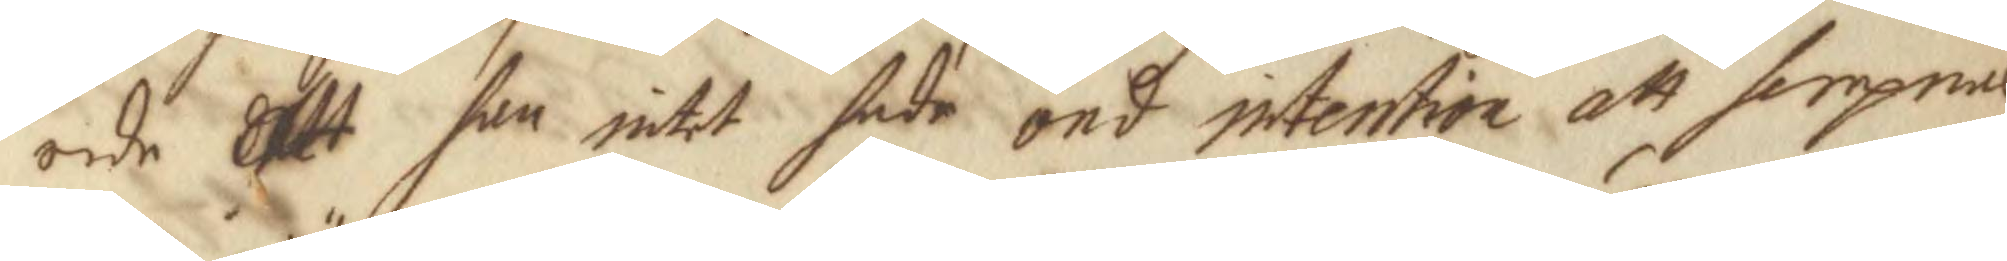orde att han intet hade ond intention att hempnas
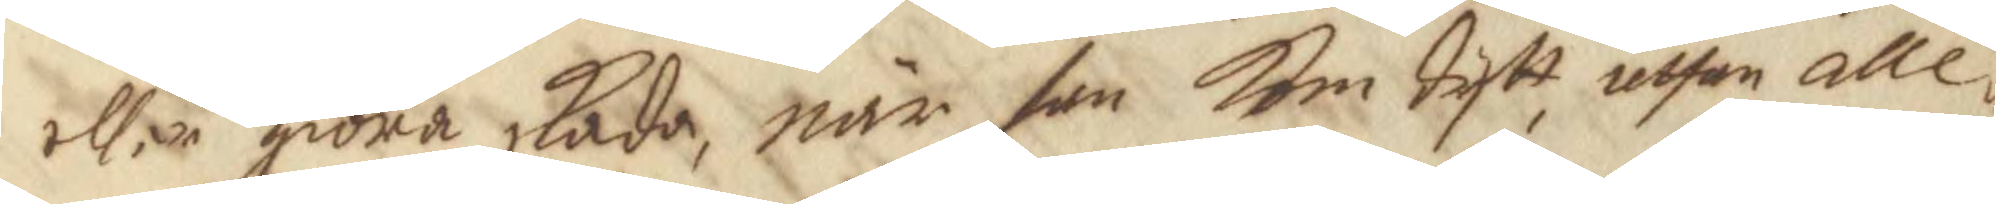eller giöra skada, när han kom dytt, uthan alle¬
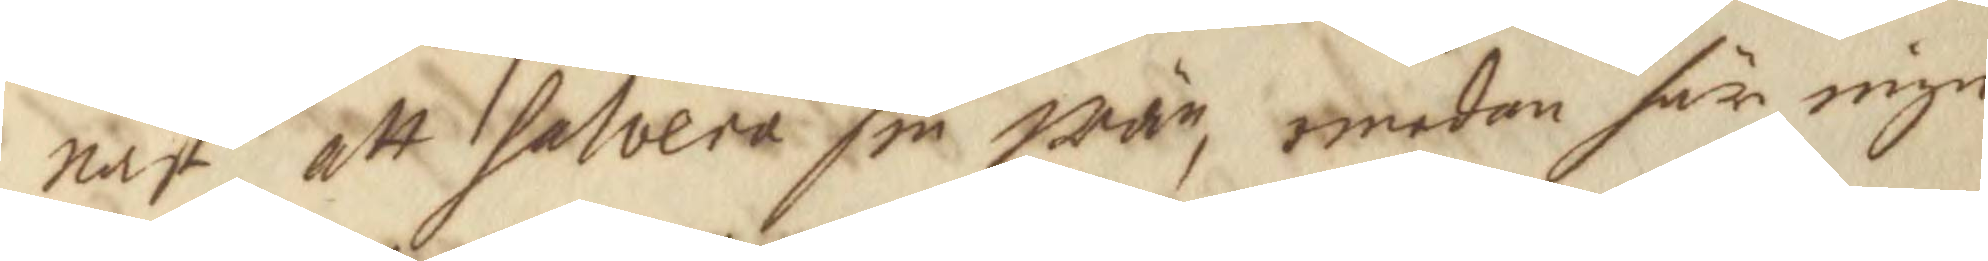nast att salvera sin wän, emedan här inge
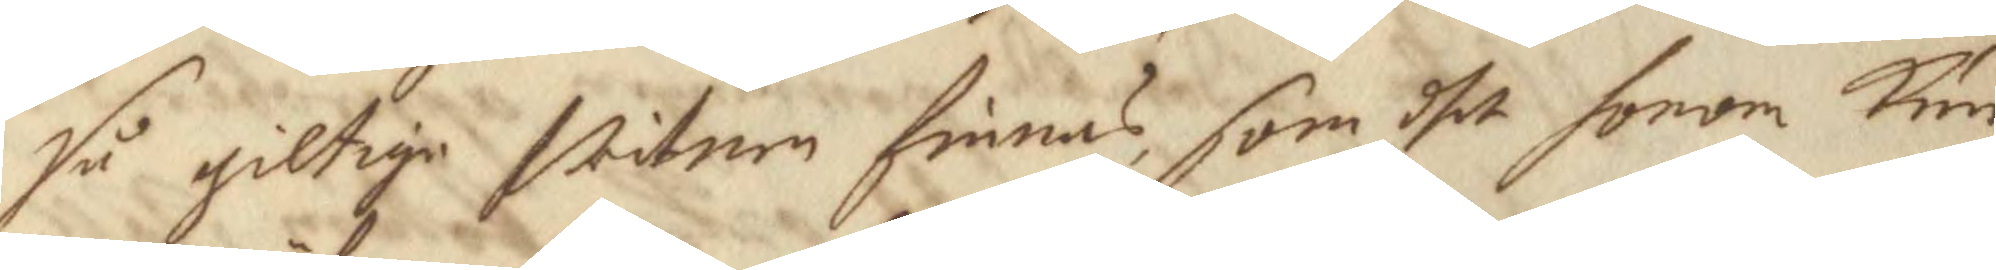så giltige witnen finnas, som dhet honom kun¬
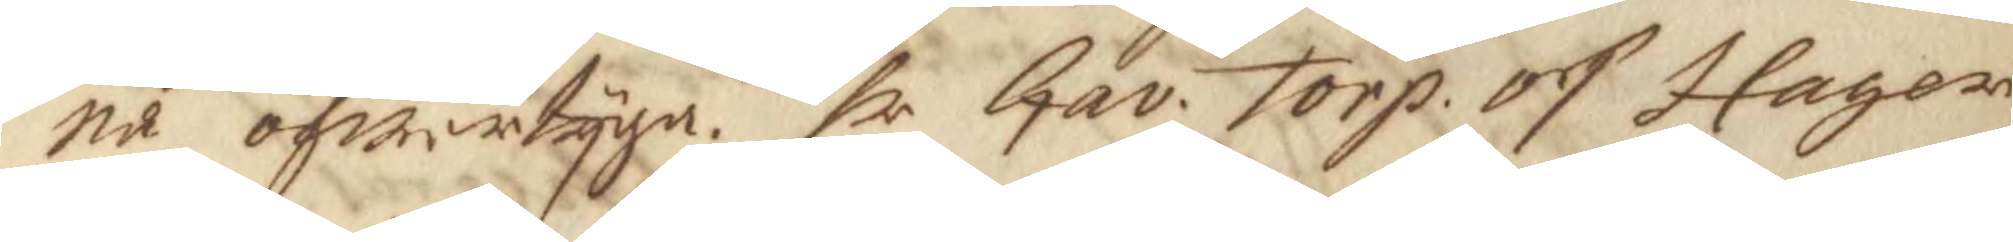na öfwertyga. hr Gav. Torp. och Hager 
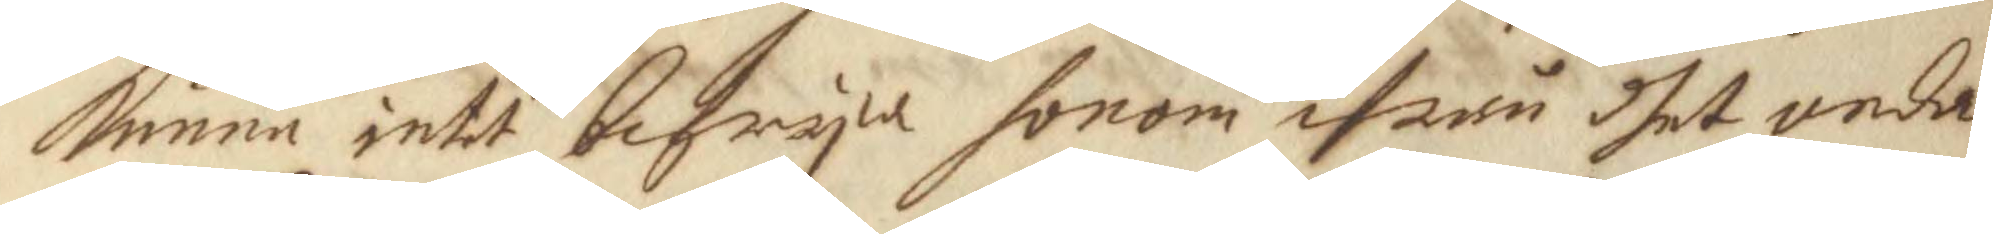kunna intet befrya honom ifrån dhet onda
